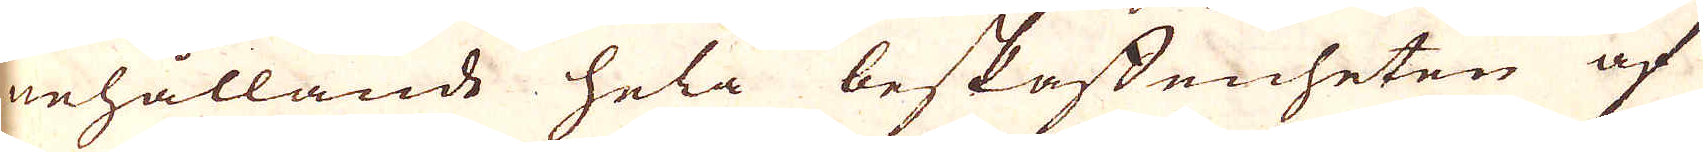nehållande hela beskaffenheten af
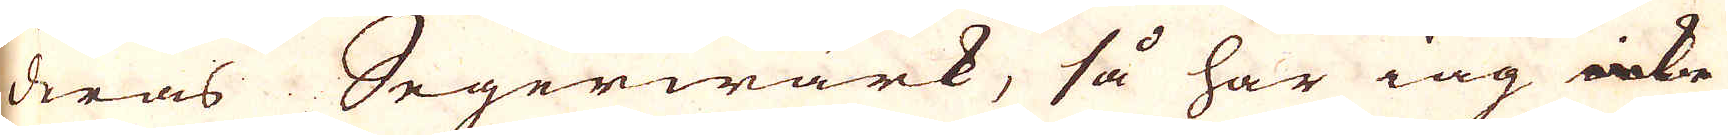deras Segerwärk, så har iag icke
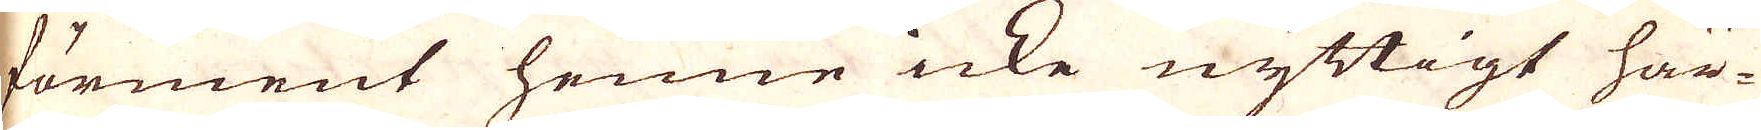förment henne icke nyttigt här-
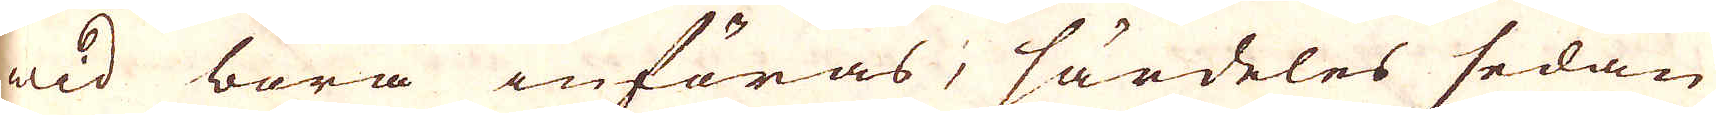wid böra införas; särdeles sedan
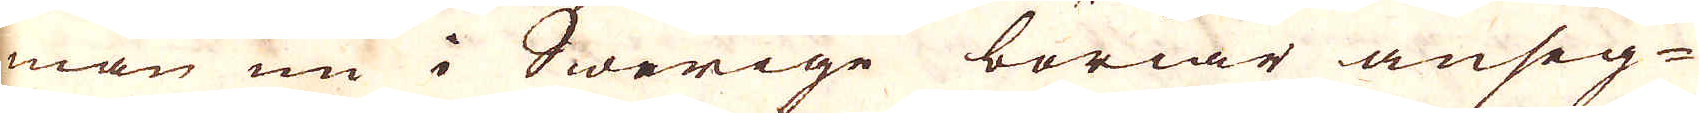man nu i Swerige böriar anseg-
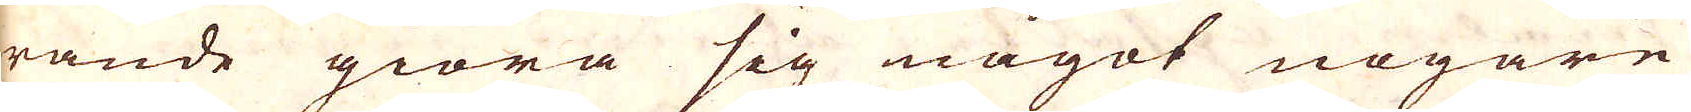rande giöra sig något nogare
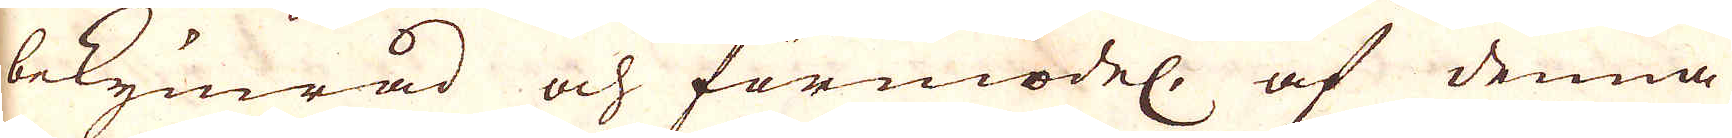bekymrad och förmödel. af denna
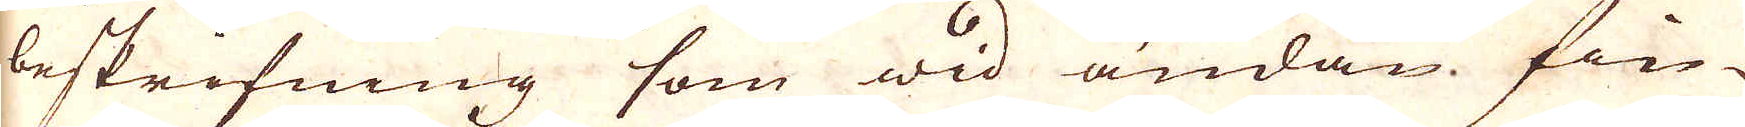beskrifning som wid ändan fin-
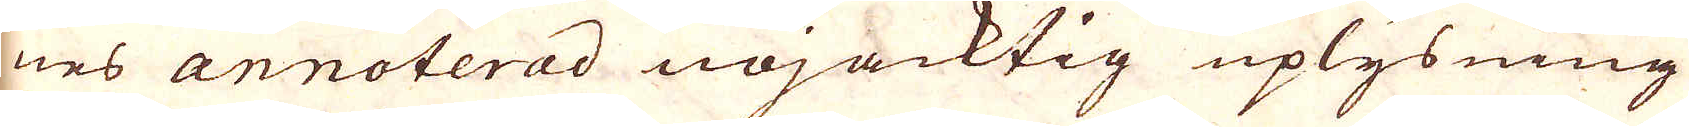nes annoterad nöjacktig uplysning
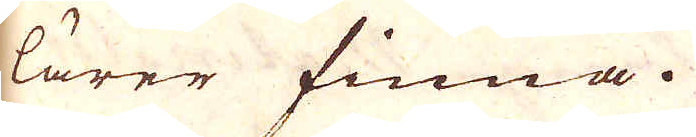lärer finna.
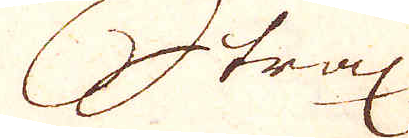Strax
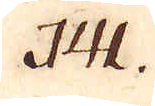141.
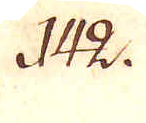142.
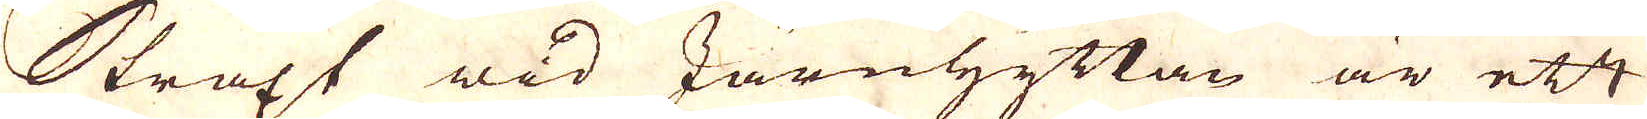Straxt wid Järnhyttan är ett
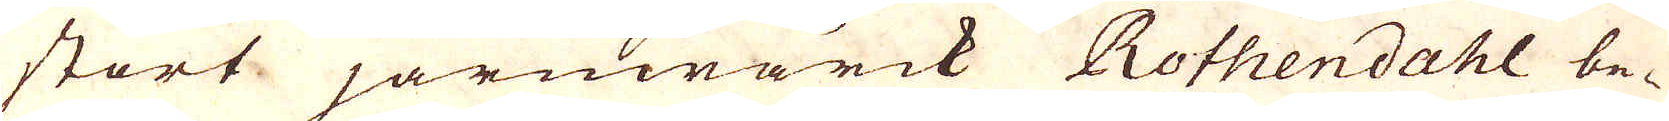stort järnwärck Rothendahl be-
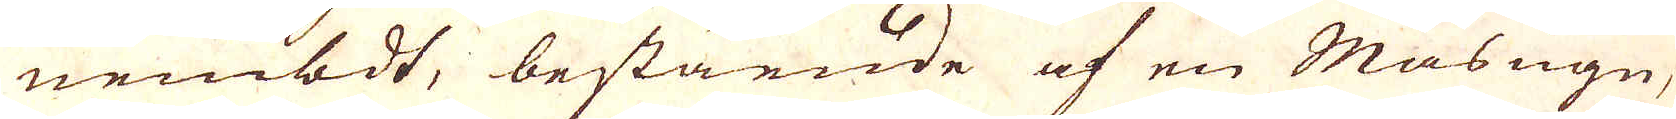nembdt, bestående af en Masugn,
